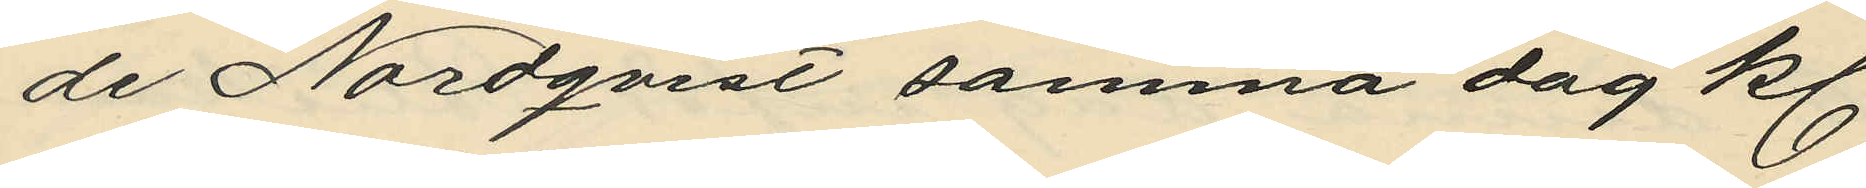de Nordqvist samma dag kl.
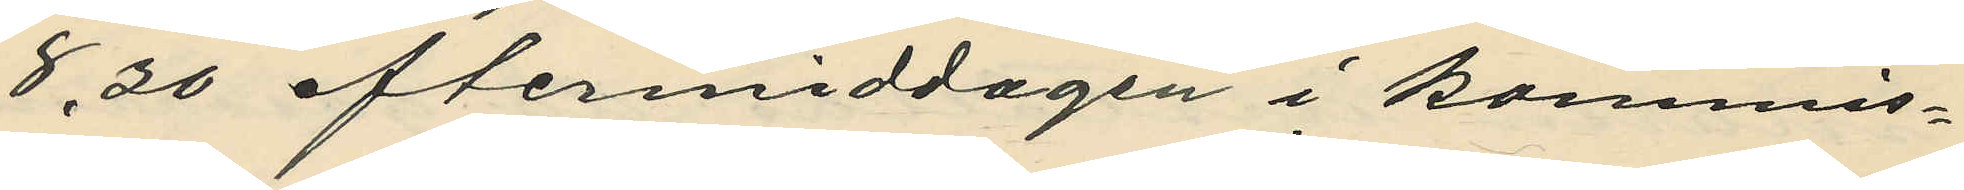8.30 eftermiddagen i Kommis¬
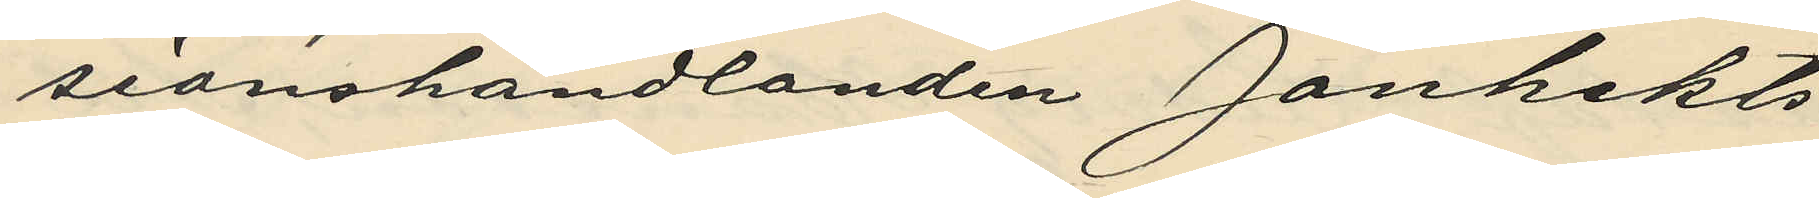sionshandlanden Janhekts
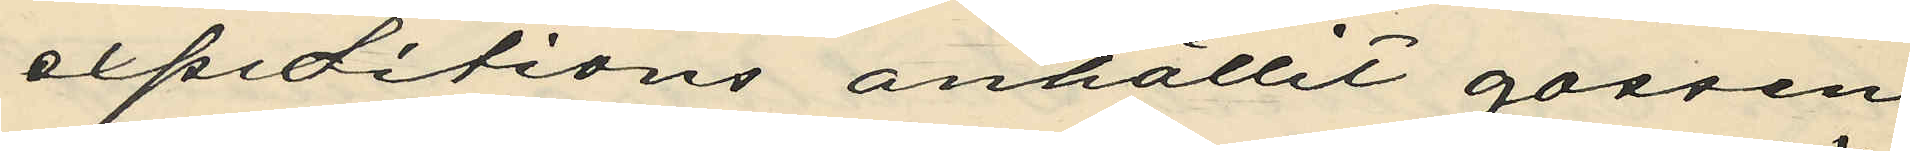expeditions anhållit gossen
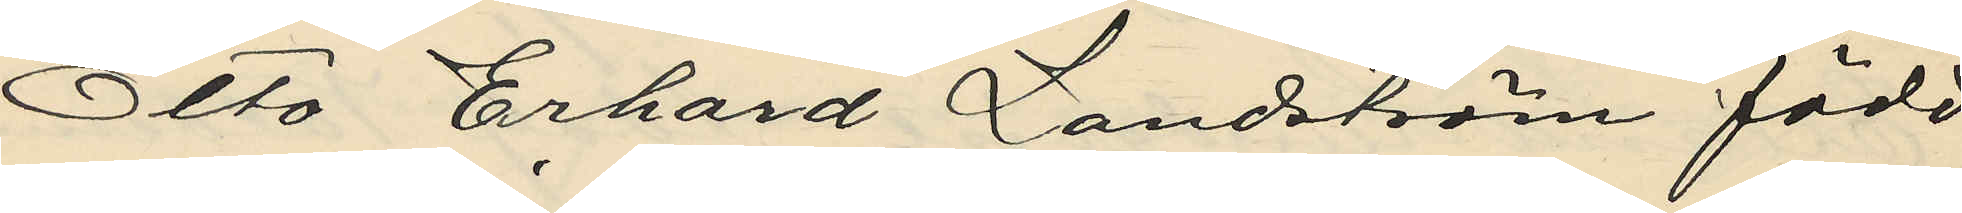Otto Erhard Landström född
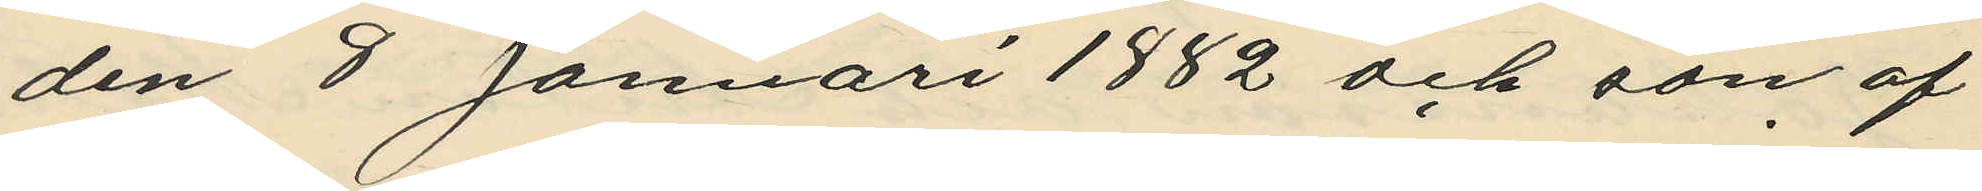den 8 Januari 1882 och son af
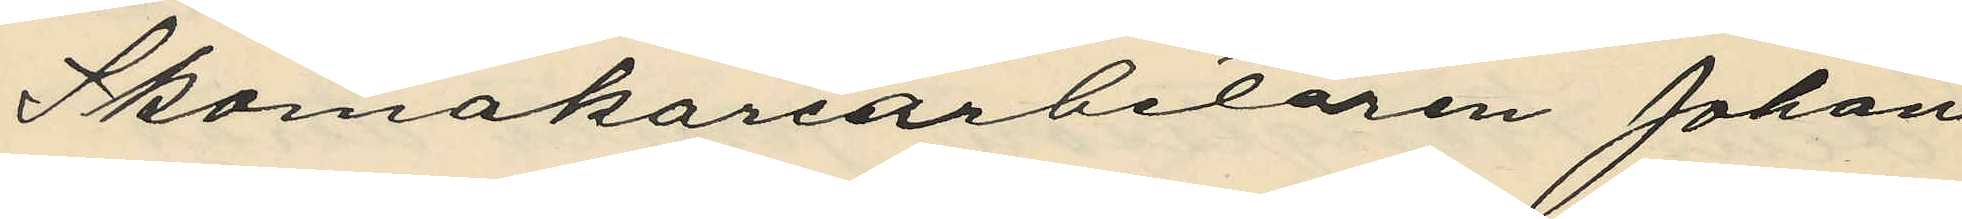Skomakarearbetaren Johan
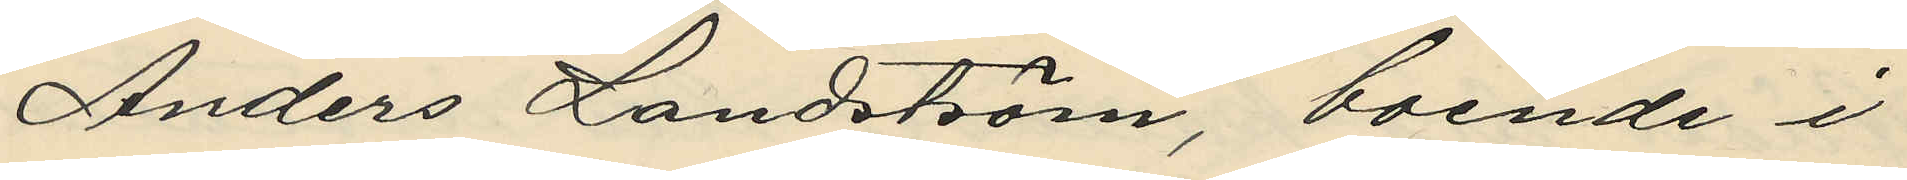Anders Landström, boende i
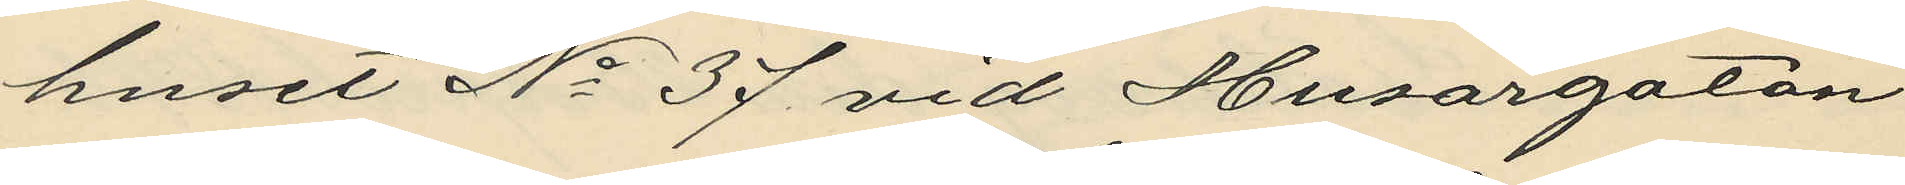huset No 37 vid Husargatan
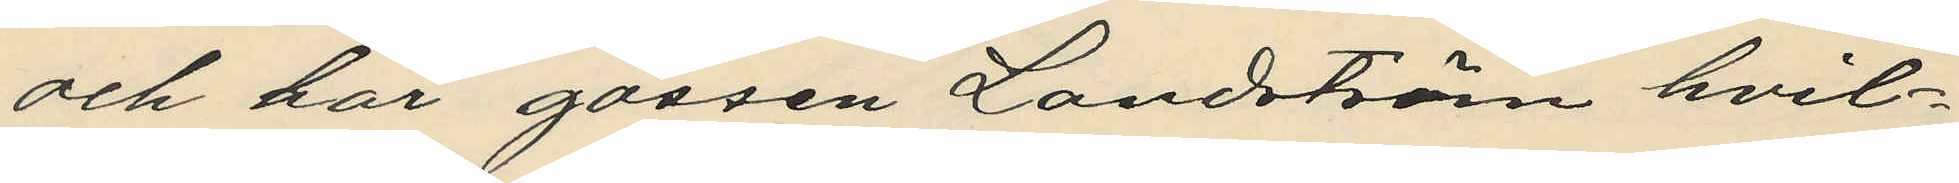och har gossen Landström hvil¬
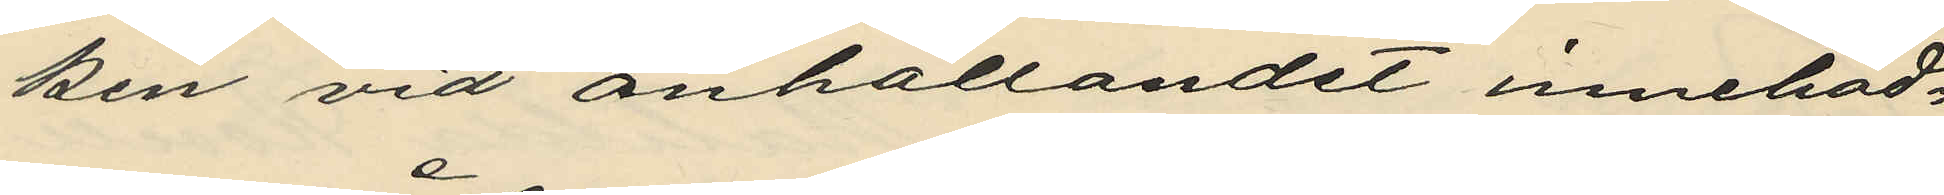ken vid anhållandet innehad¬
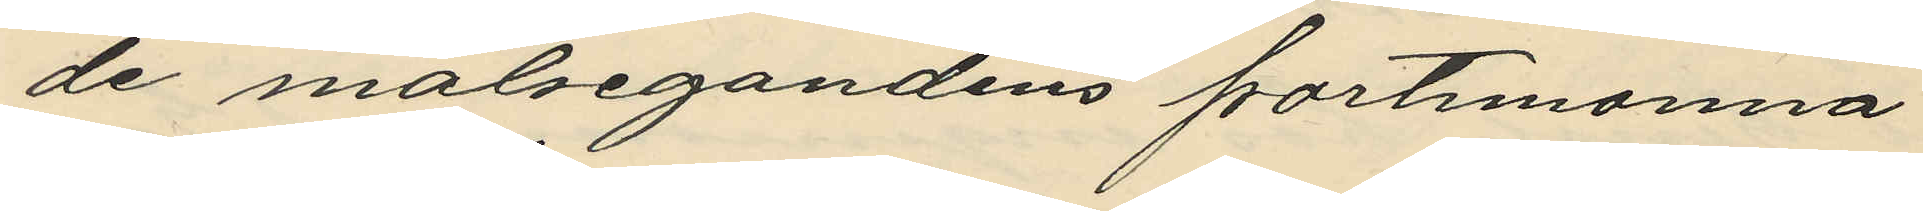de målsegandens portemonnä
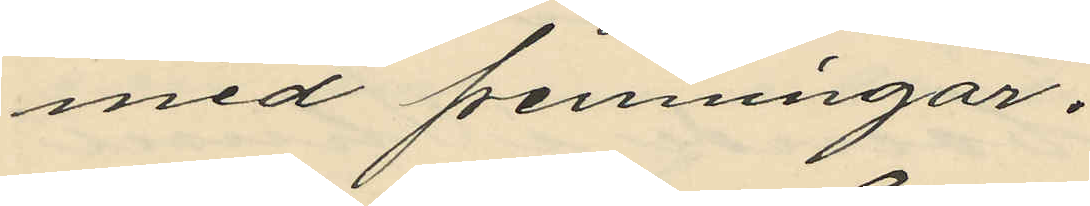med penningar.
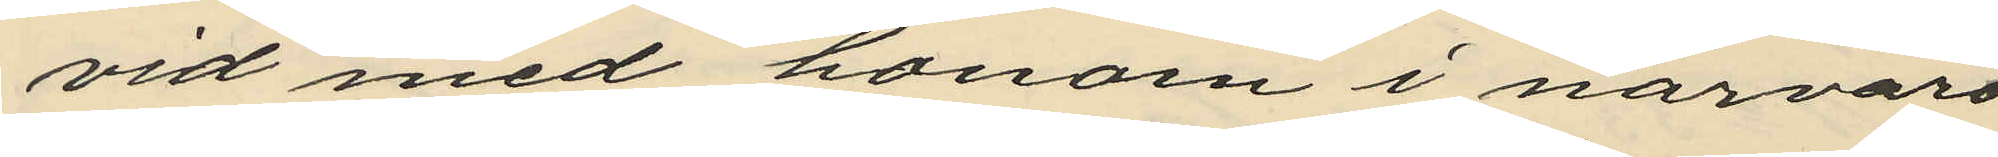vid med honom i närvaro
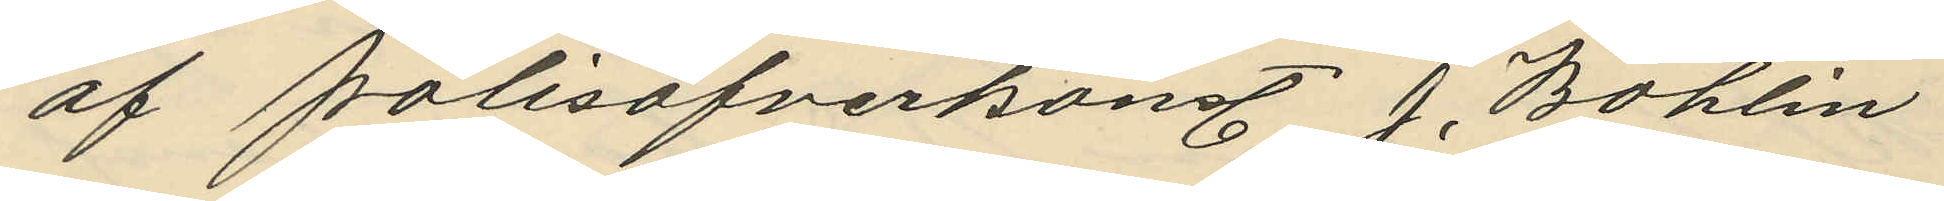af polisöfverkonst. J. Bohlin
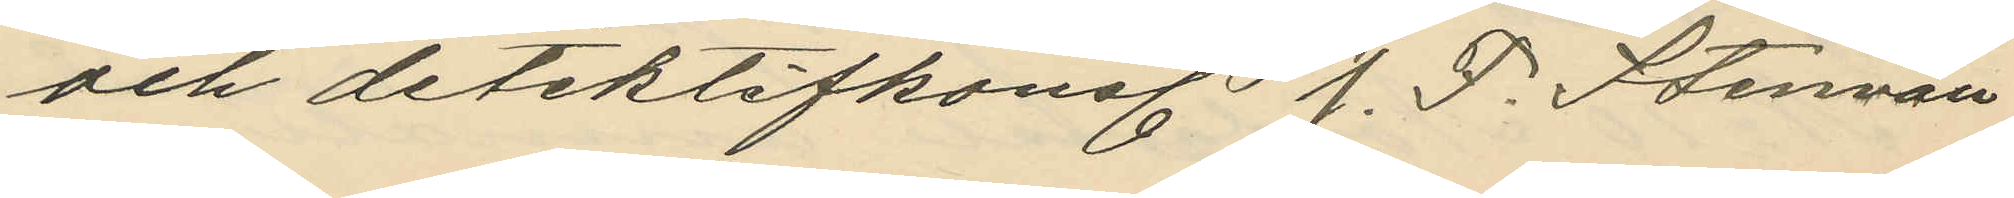och detektifkonst. J. F. Stenvall
